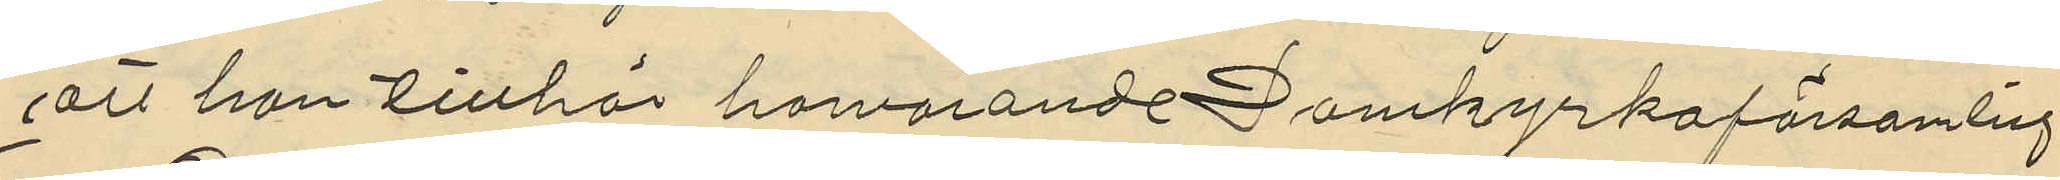att han tillhör härvarande Domkyrkoförsamling.
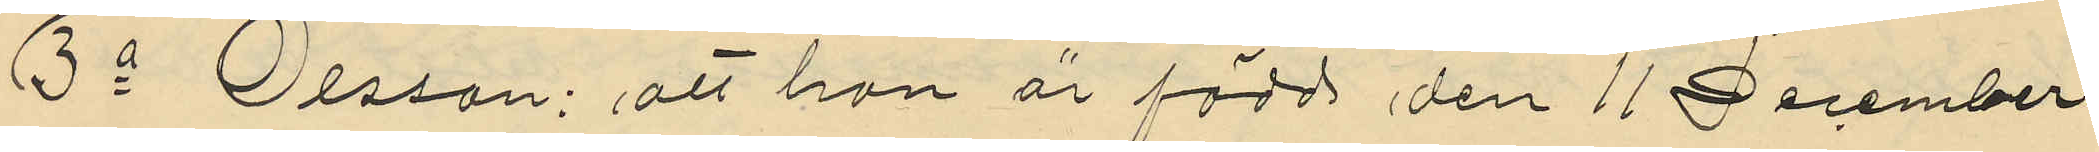3o Olsson: att han är född den 11 December
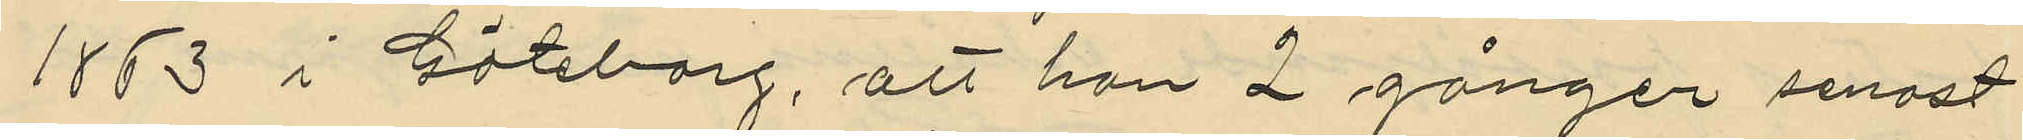1863 i Göteborg, att han 2 gånger senast
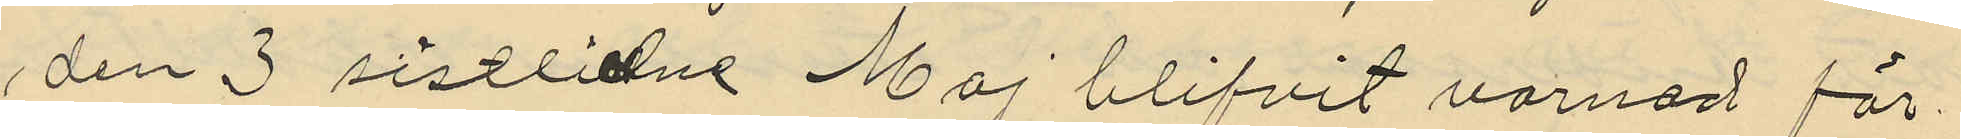den 3 sistlidne Maj blifvit varnad för
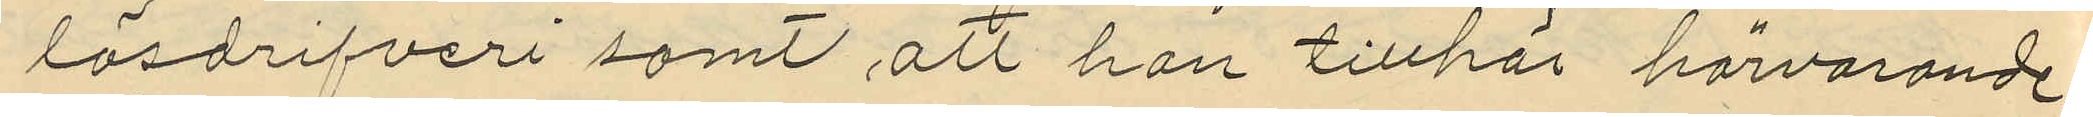lösdrifveri samt att han tillhör härvarande
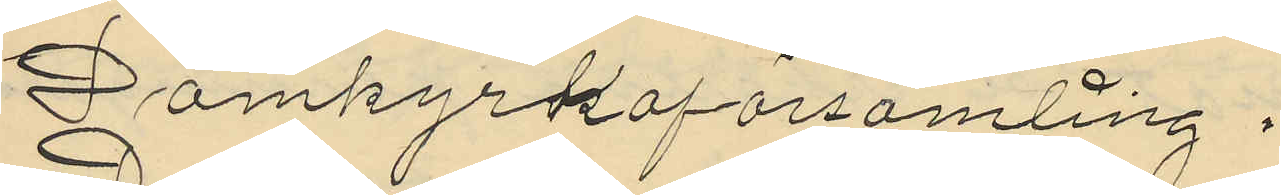Domkyrkoförsamling.
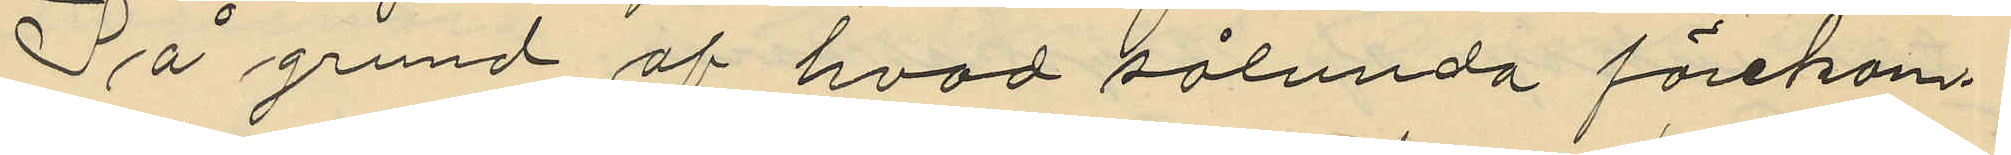På grund af hvad sålunda förekom¬
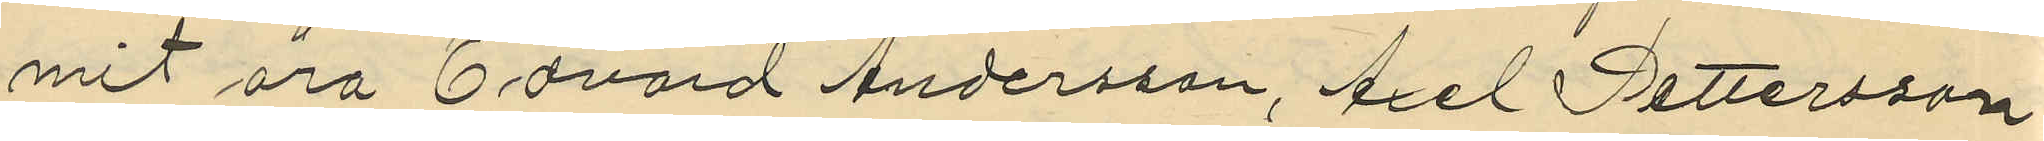mit äro Edvard Andersson, Axel Pettersson
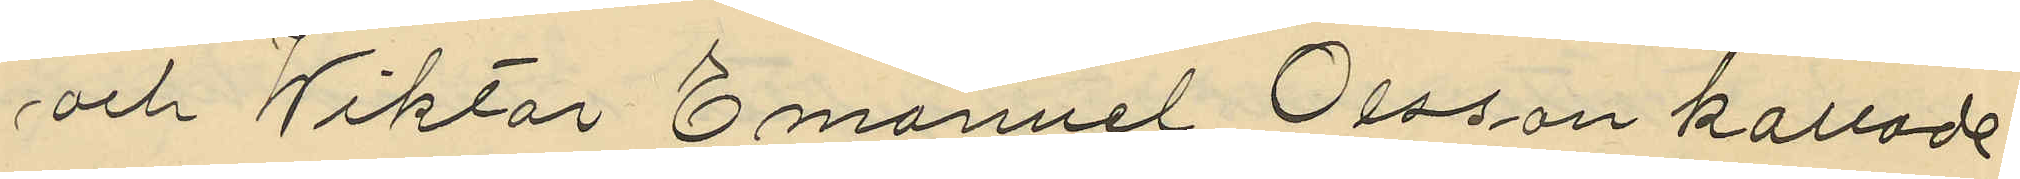och Wiktor Emanuel Olsson kallade
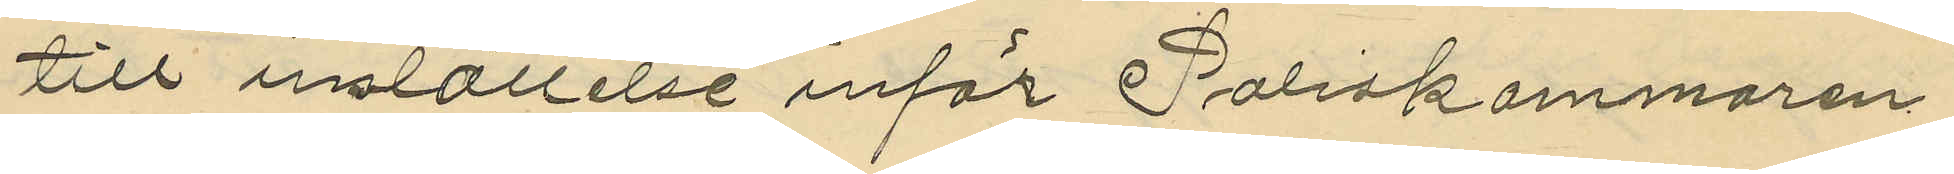till inställelse inför Poliskammaren
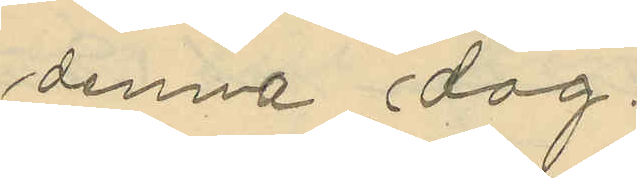denna dag.
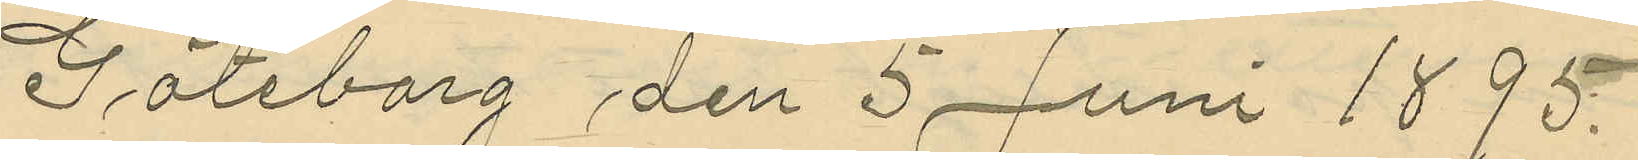Göteborg den 5 Juni 1895.
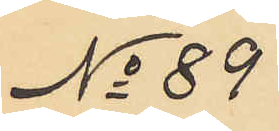No 89
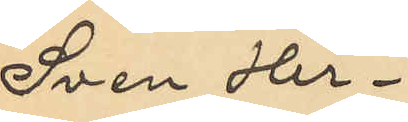Sven Her¬
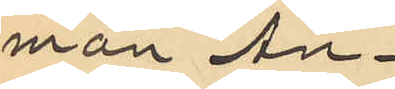man An¬
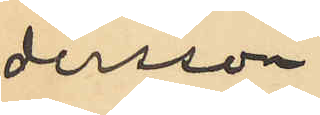dersson
